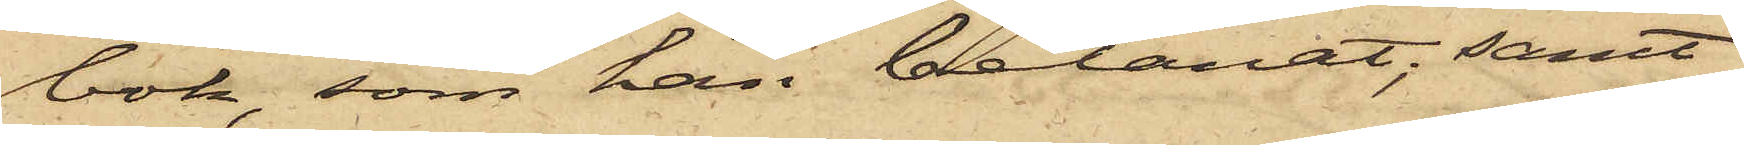bok, som han belånat; samt
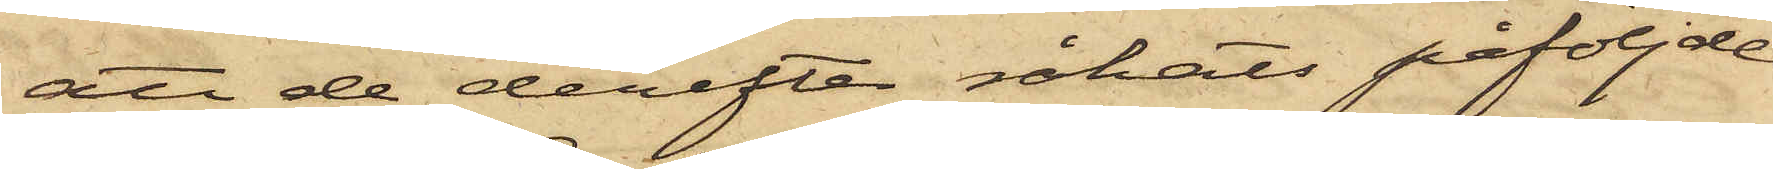att de derefter råkats påföljde
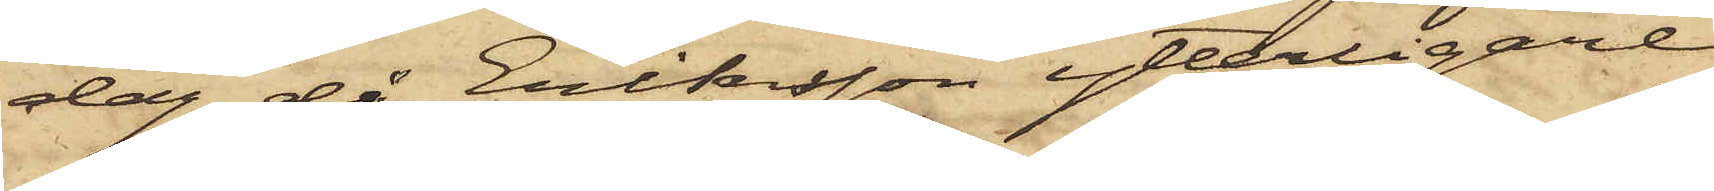dag, då Eriksson ytterligare
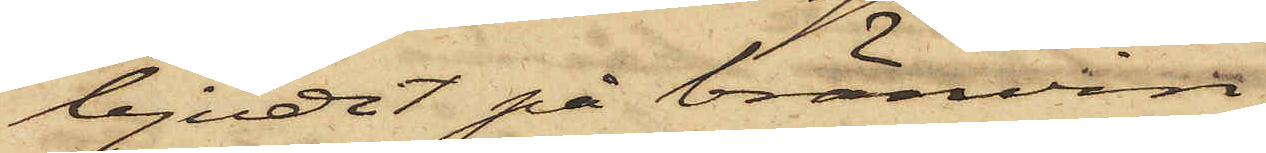bjudit på bränvin,
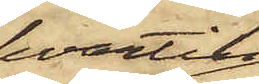hvartill
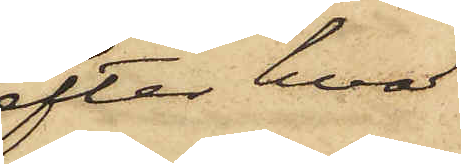efter hvad
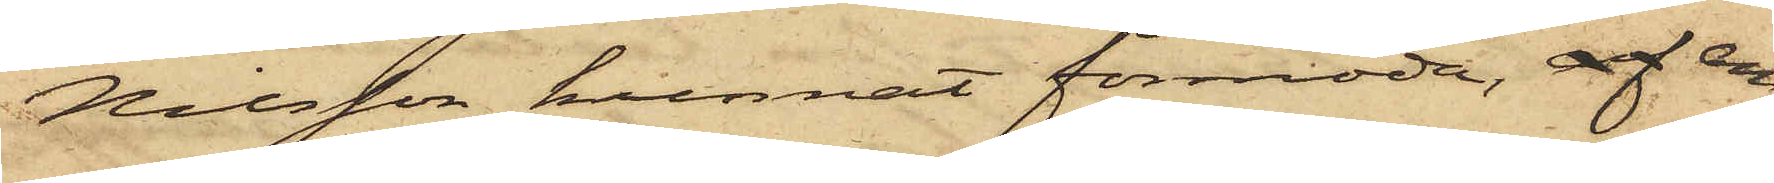Nilsson kunnat förmoda, af an¬
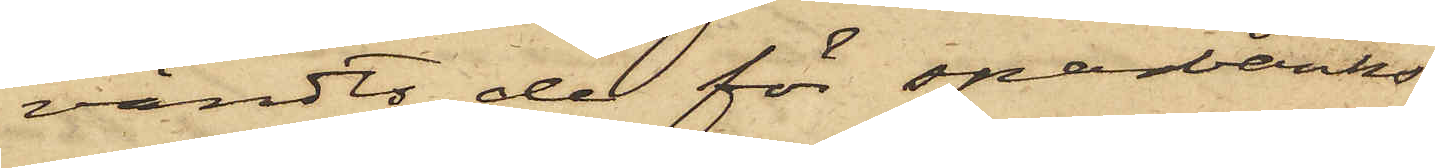vändts de för sparbanks¬
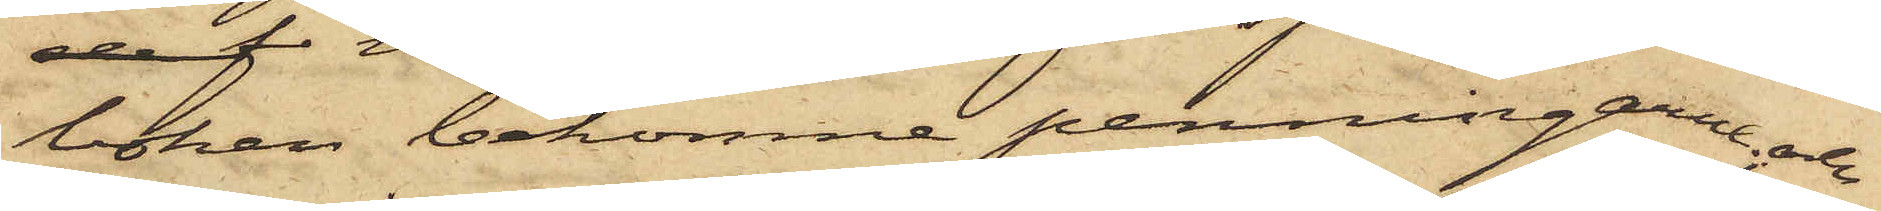boken bekomne penningarne; och
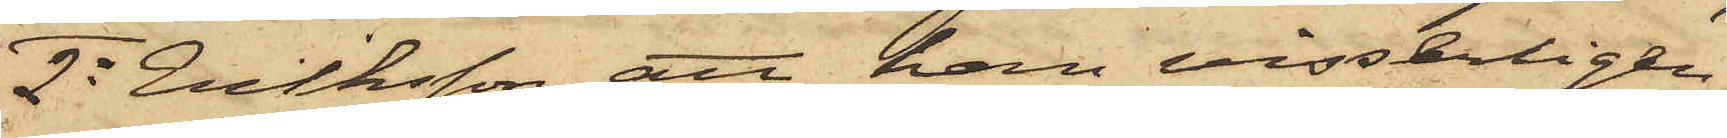2o Eriksson, att han visserligen,
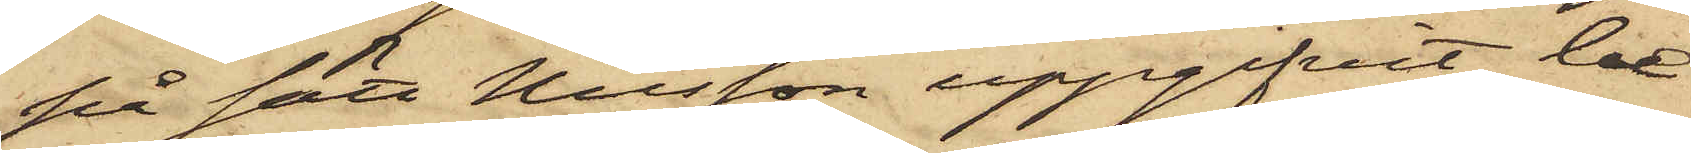på sätt Nilsson uppgifvit, be¬
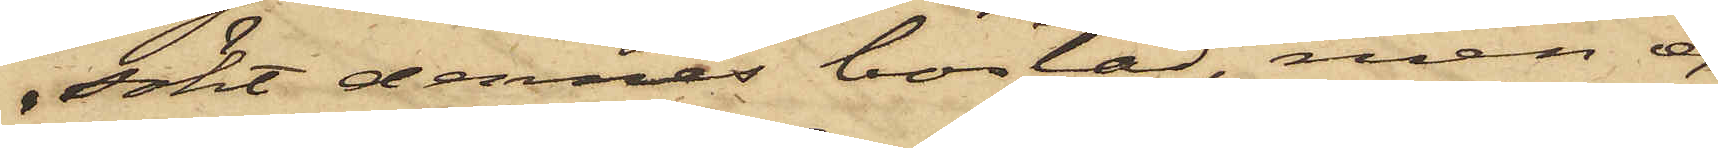sökt dennes bostad, men ej
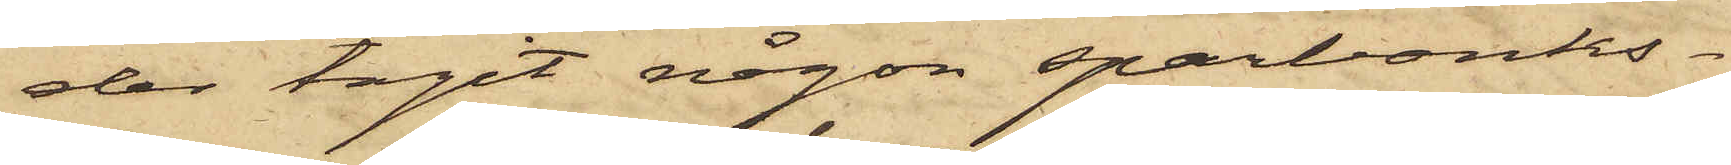der tagit någon sparbanks¬
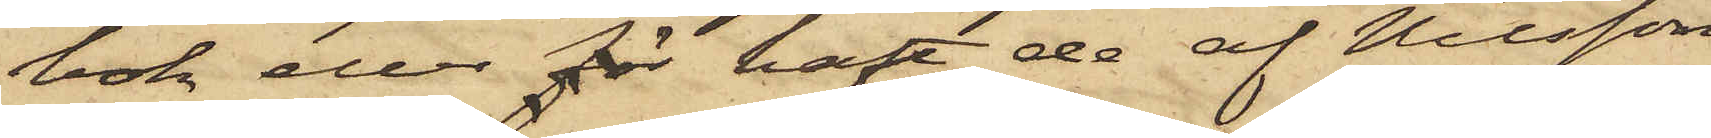bok eller för haft de af Nilsson
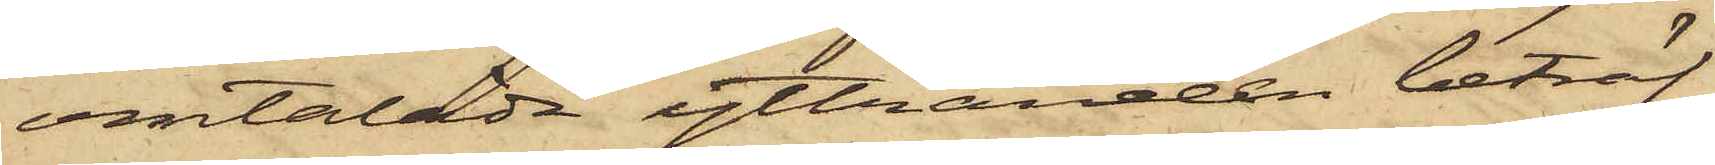omtalade yttranden beträf¬
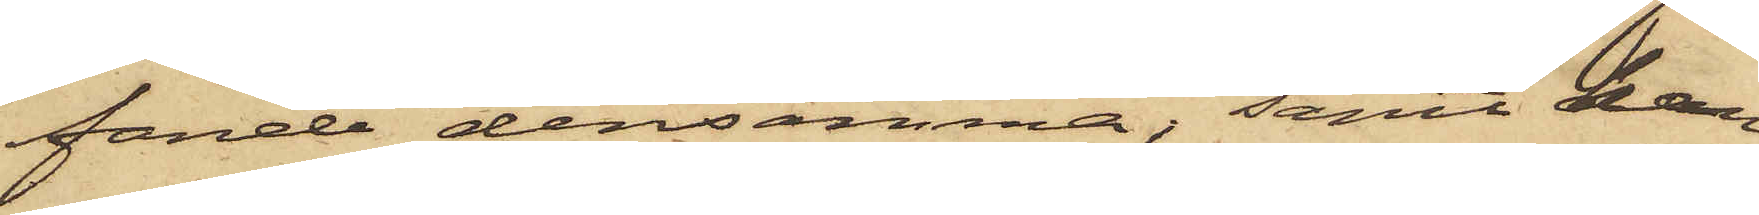fande densamma; samt att han
